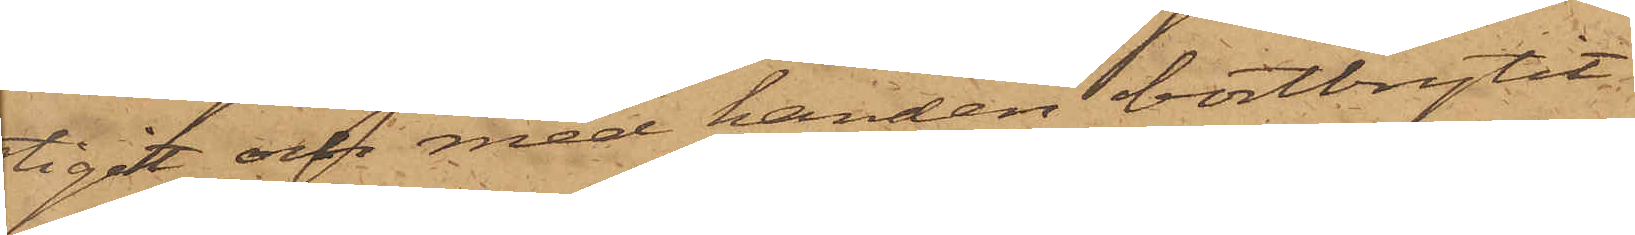stigit och med handen bortbrytit
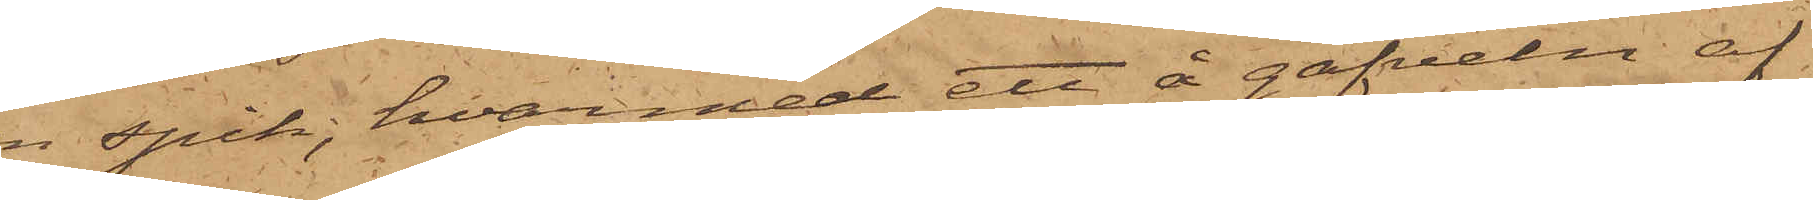en spik, hvarmed ett å gafveln af
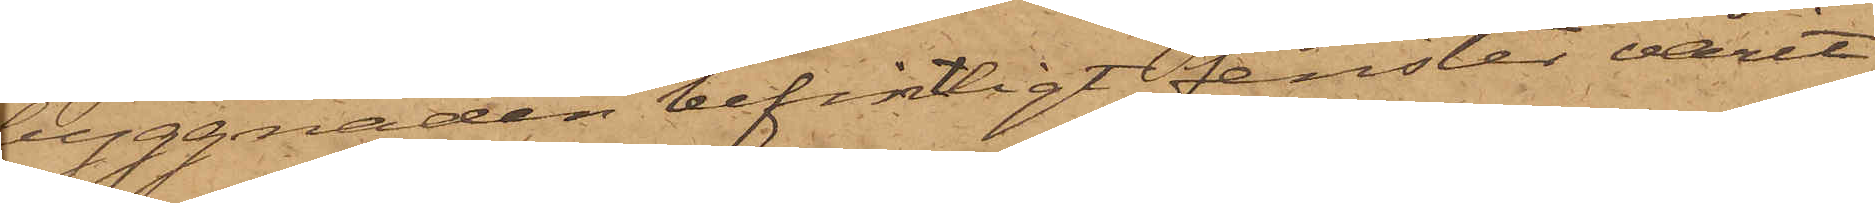byggnaden befintligt fenster varit
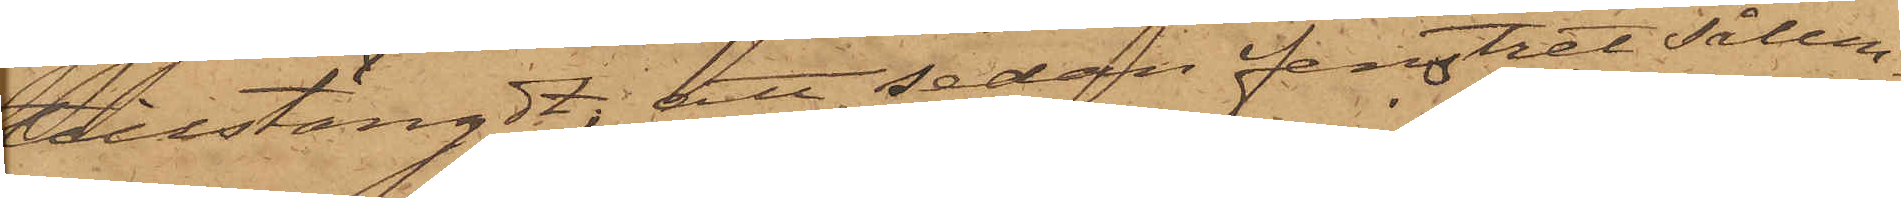tillstängdt; att sedan fenstret sålun¬
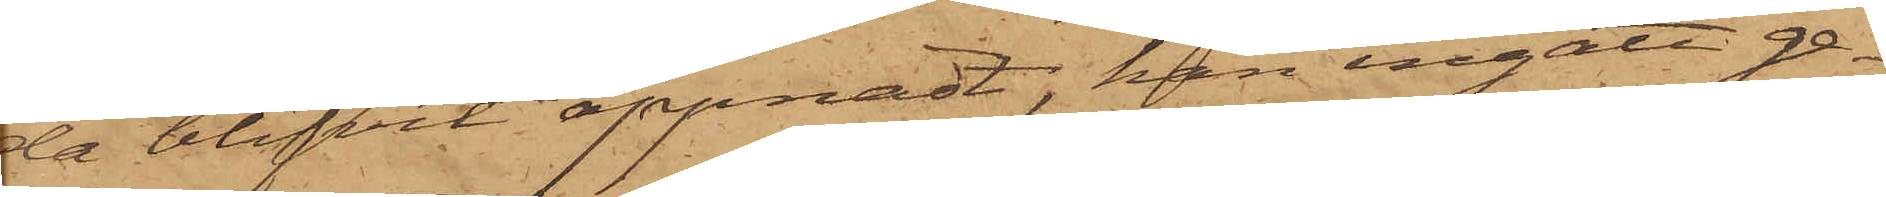da blifvit öppnadt, han ingått ge¬
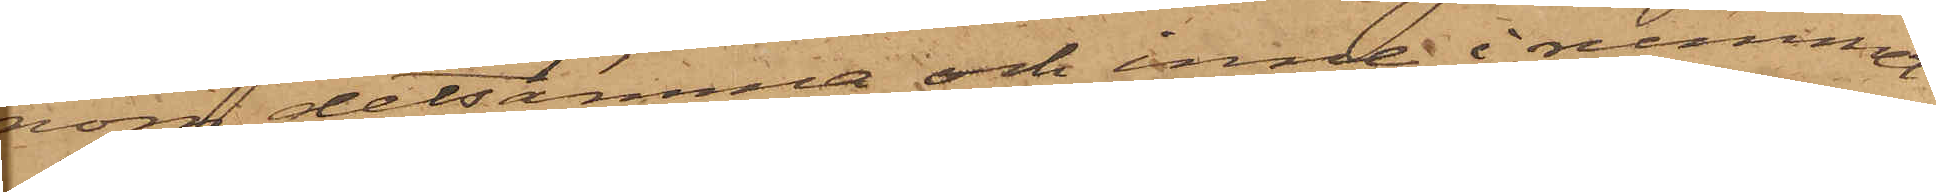nom detsamma och inne i rummet
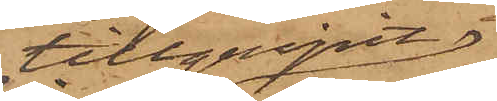tillgripit
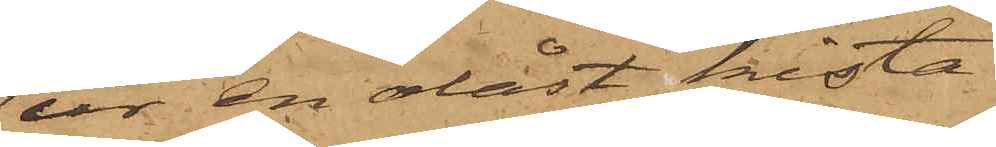ur en olåst kista
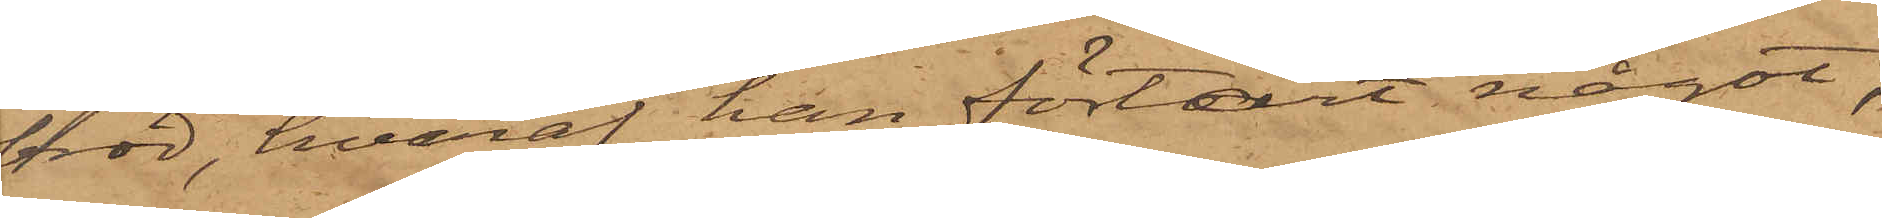bröd, hvaraf han förtärt något,
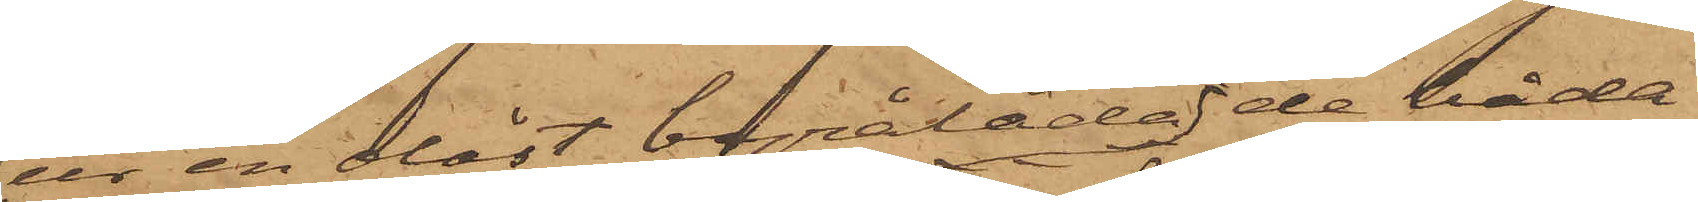ur en olåst byrålåda de båda
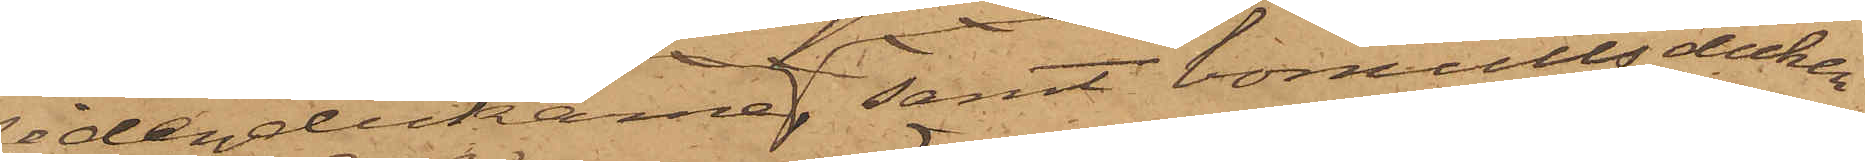sidendukarne samt bomullsduken
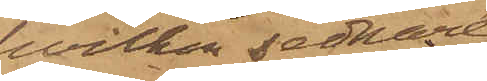hvilken sednare
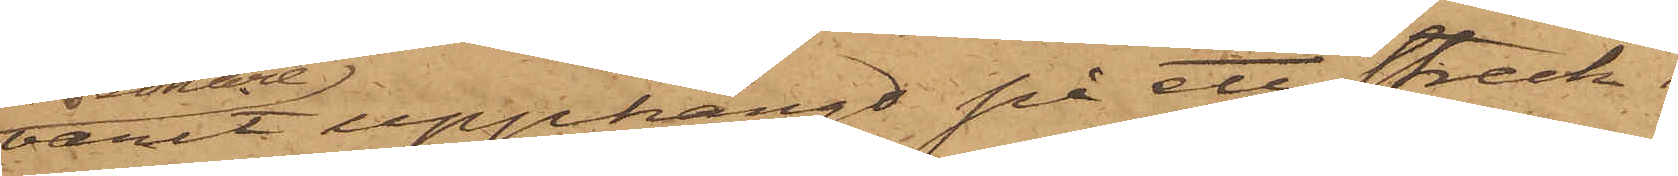varit upphängt på ett streck i
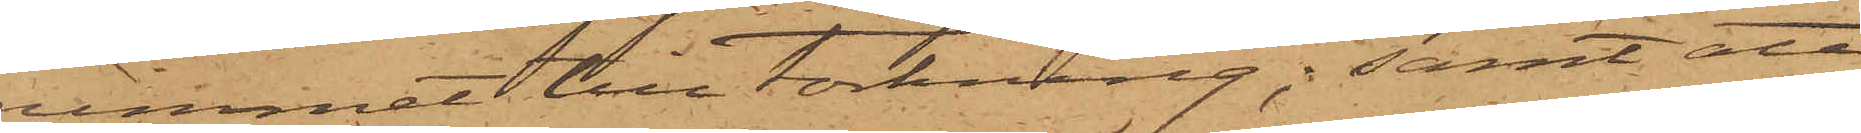rummet till torkning; samt att
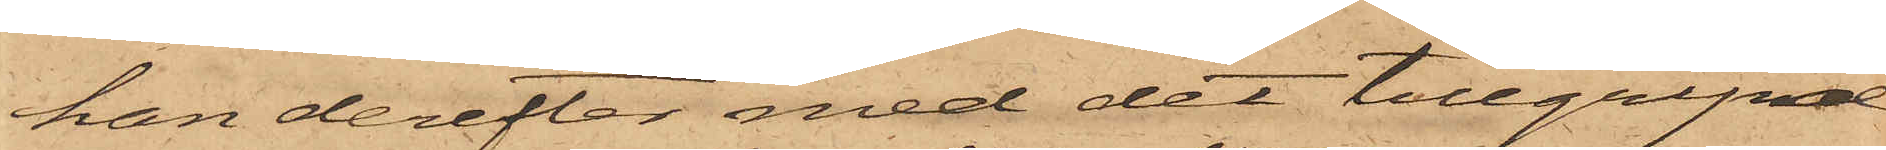han derefter med det tillgripa
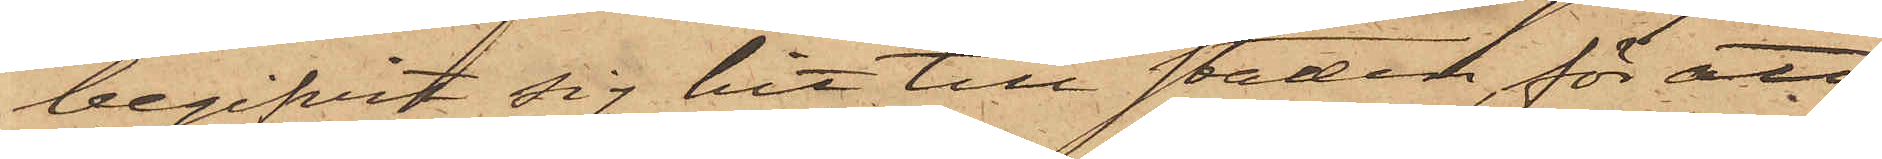begifvit sig hit till staden, för att
